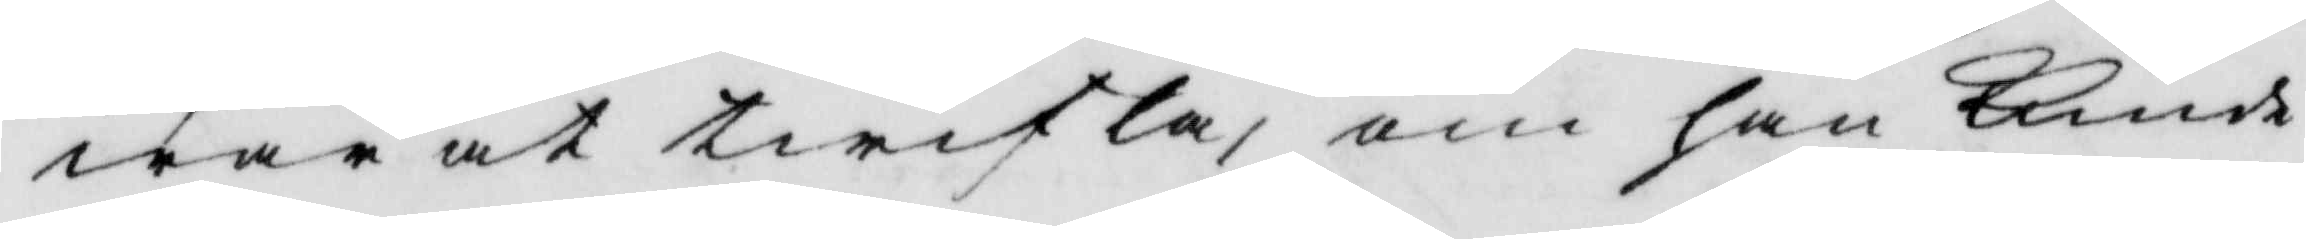wara at twifla, om han kunde
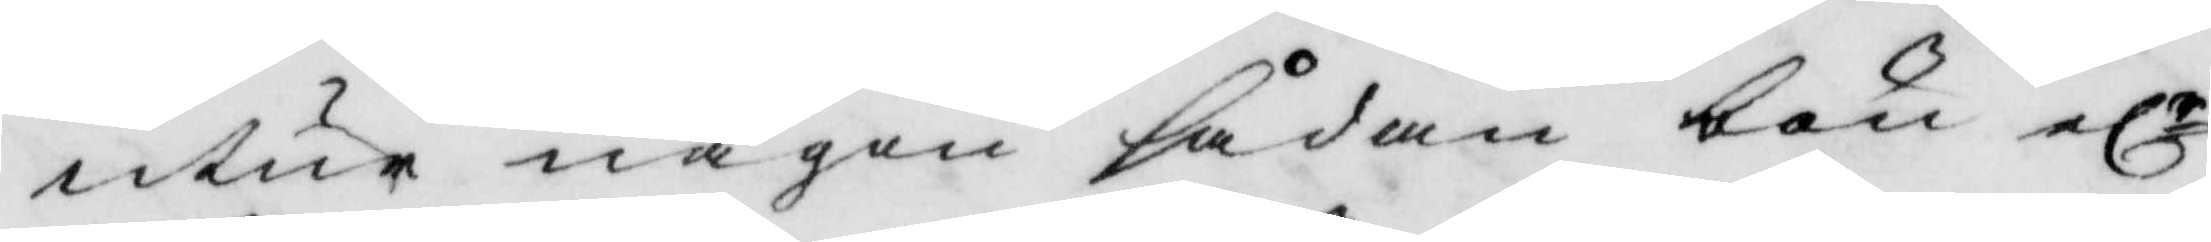utir någon sådan bön elr
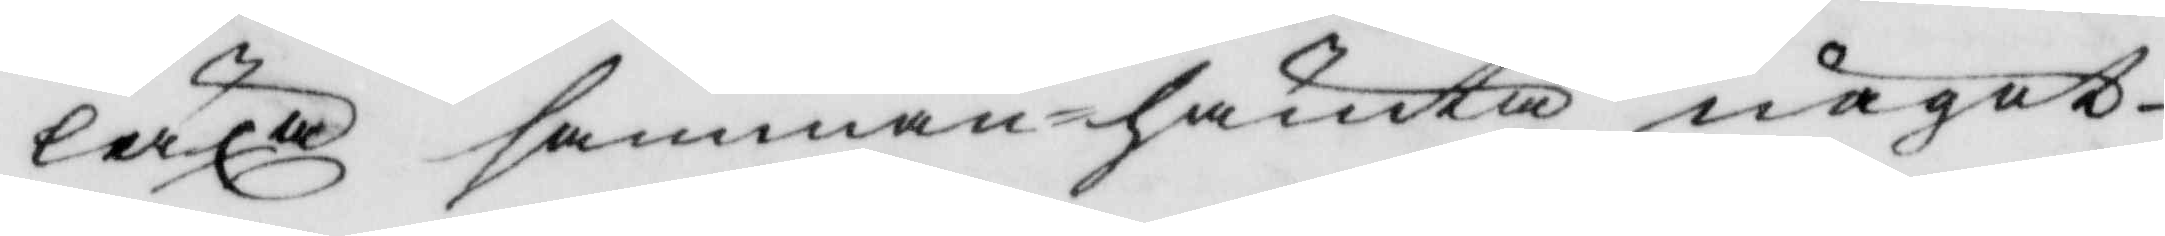läxasammanhämta något
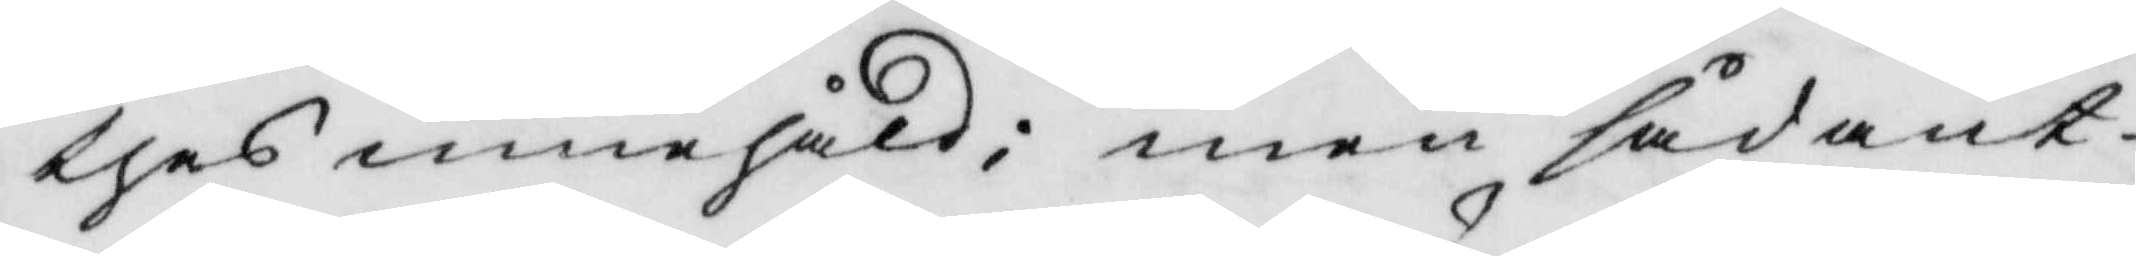thes innehåld; men sådant
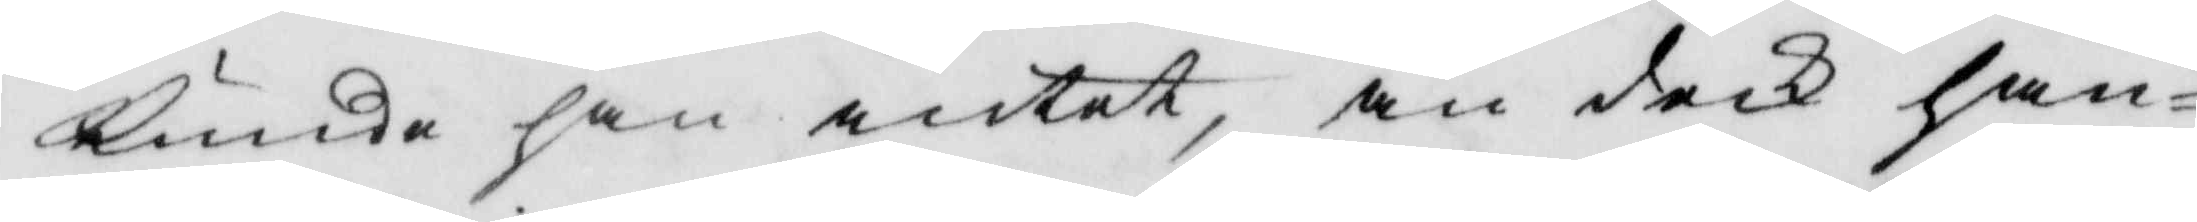kunde han intet, än dock han
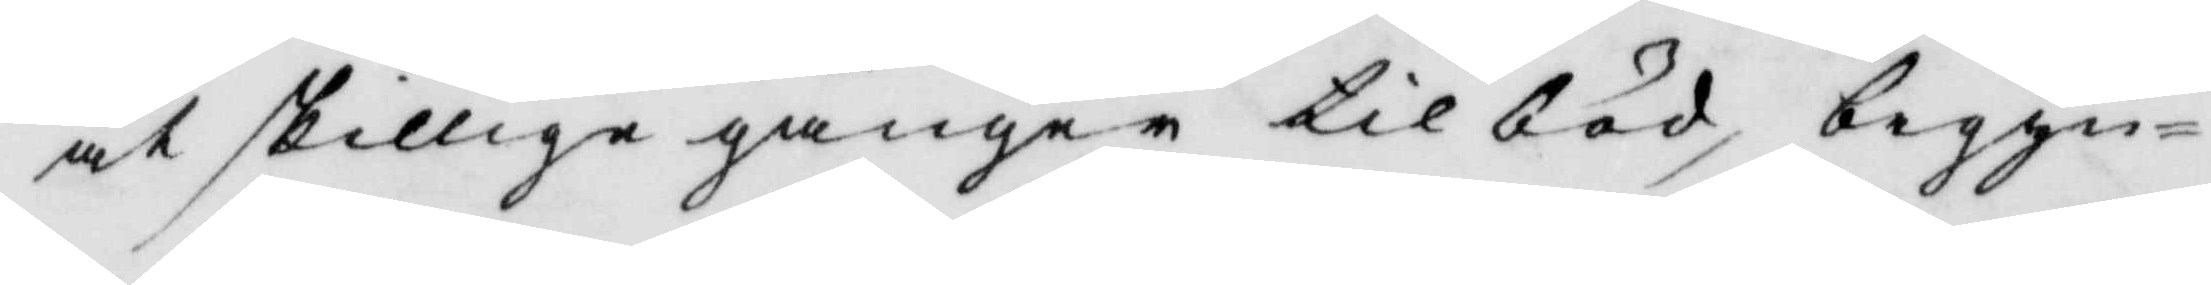åtskillige gånger tilböd, begyn¬
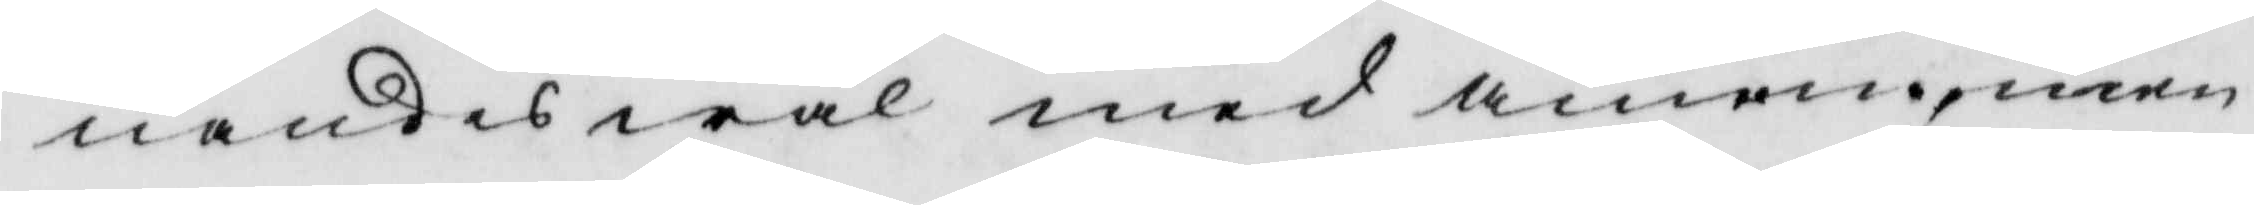nandes wäl med amem, men
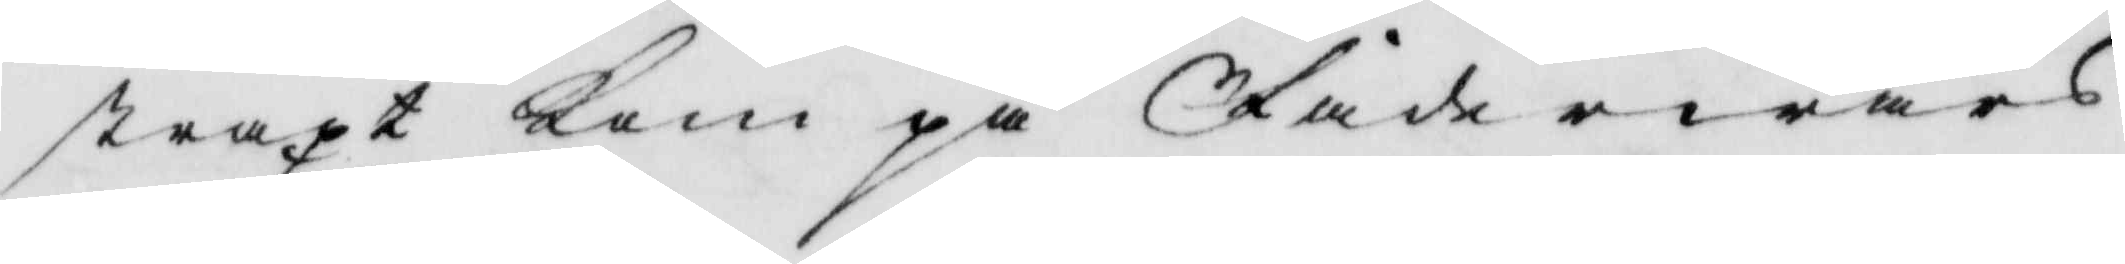straxt kom på Fader wårs
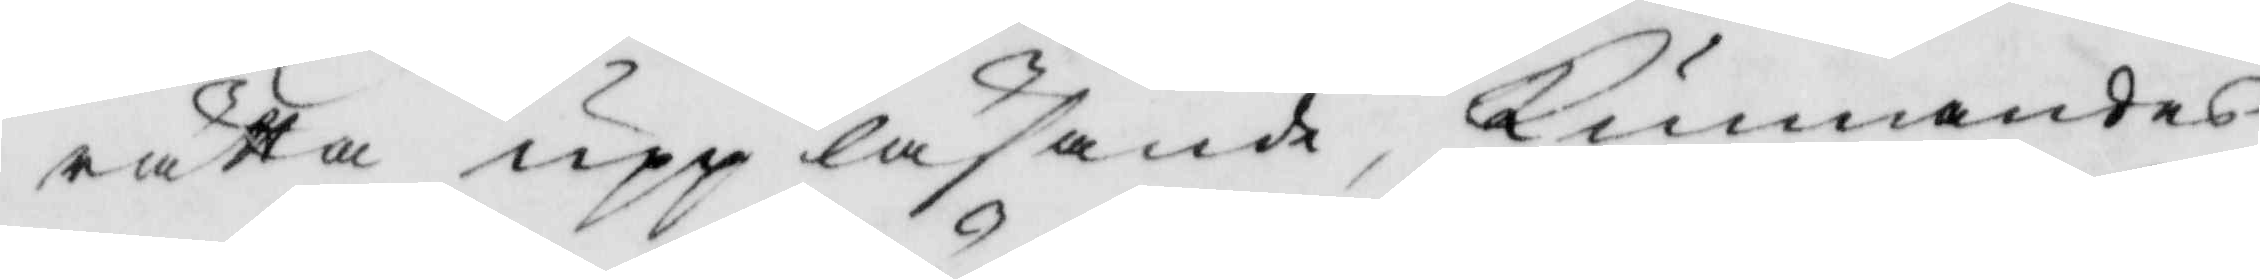rätta uppläsande, kunnandes
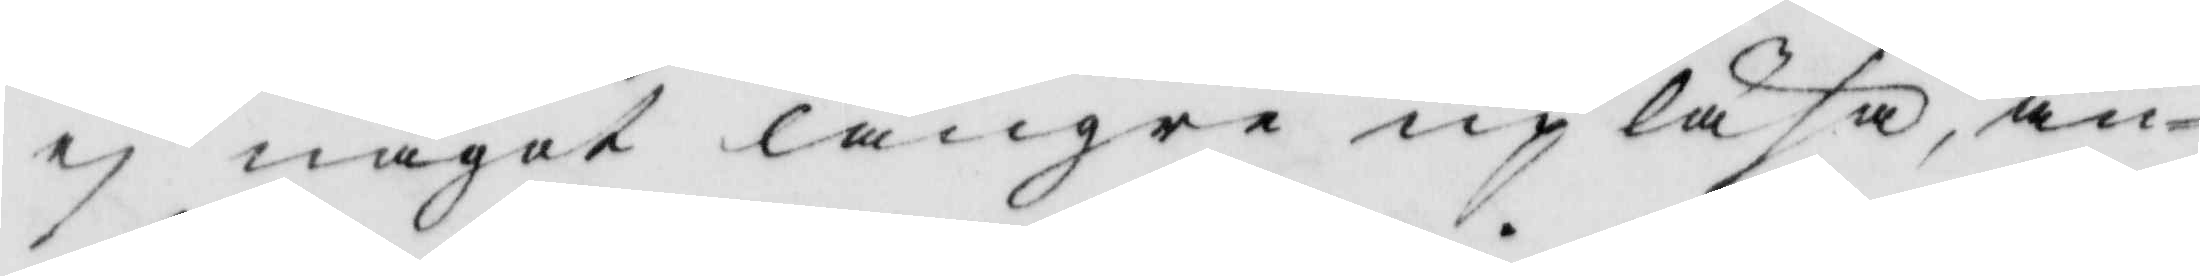ej något längre upläsa än
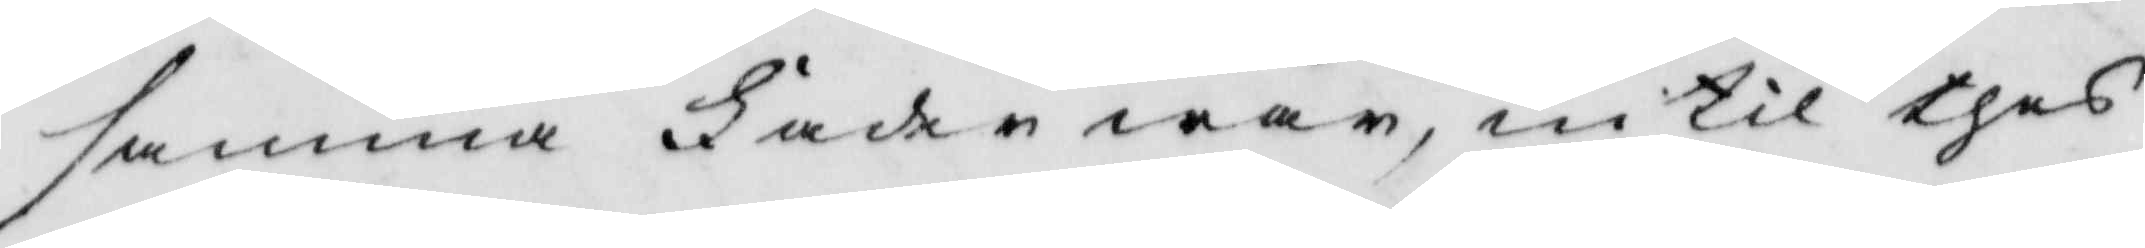samma Fader wår intil thes
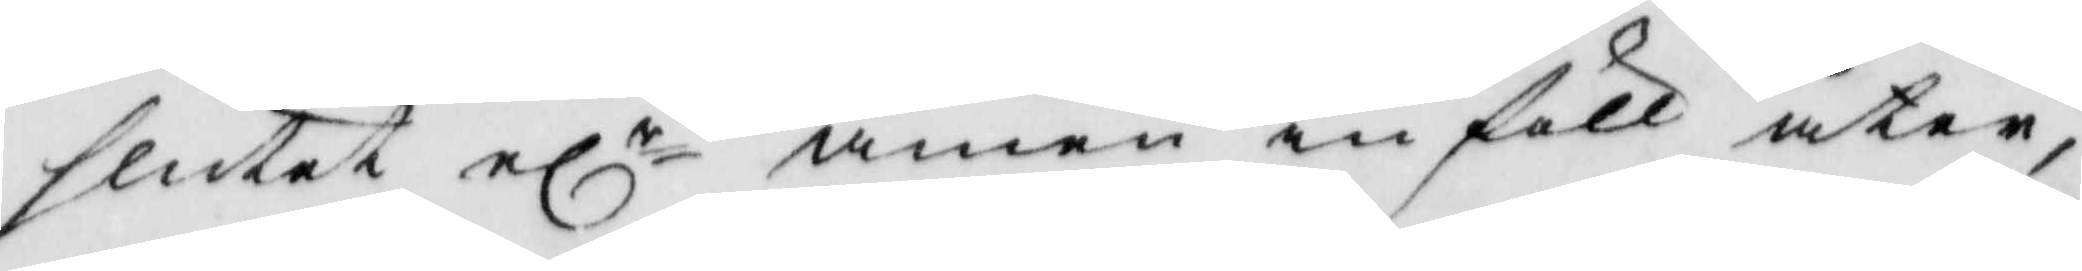slutet elr amen infall åter,
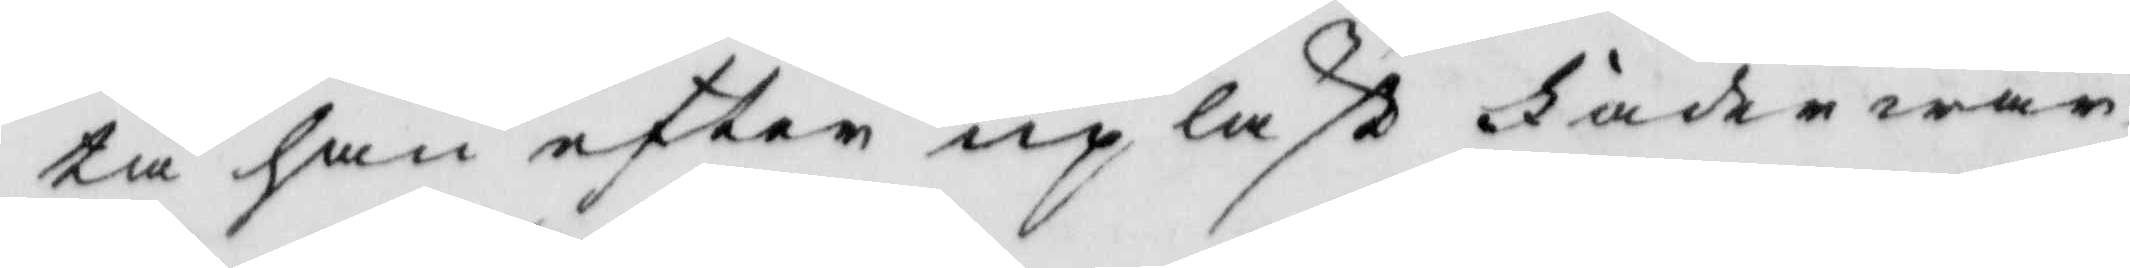tå han efter upläst Fader wår
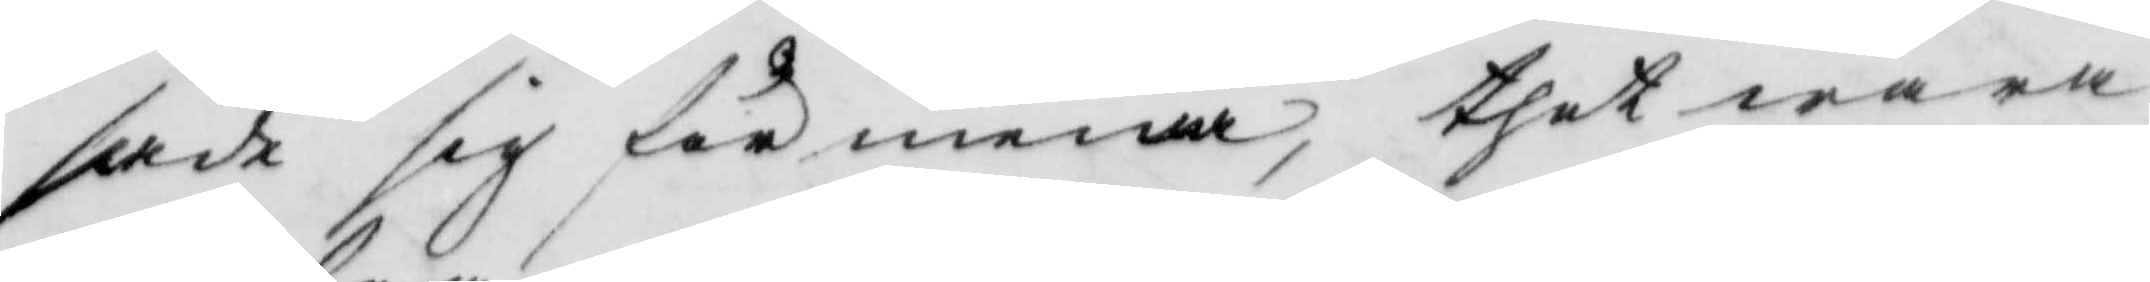sade sig för mena, thet wara
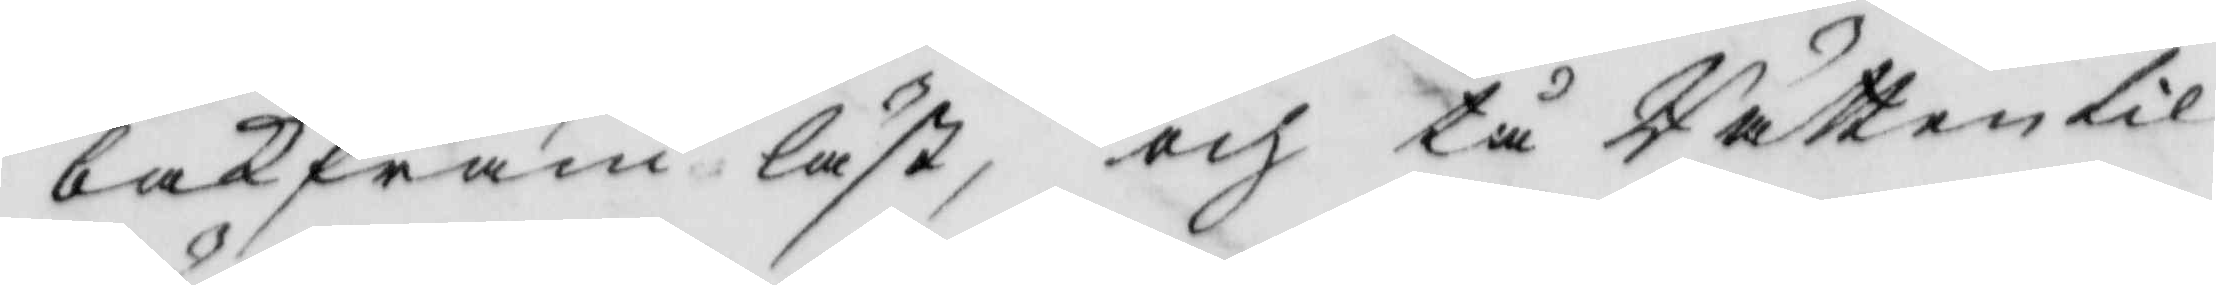bakfram läst, och tå Rätten til
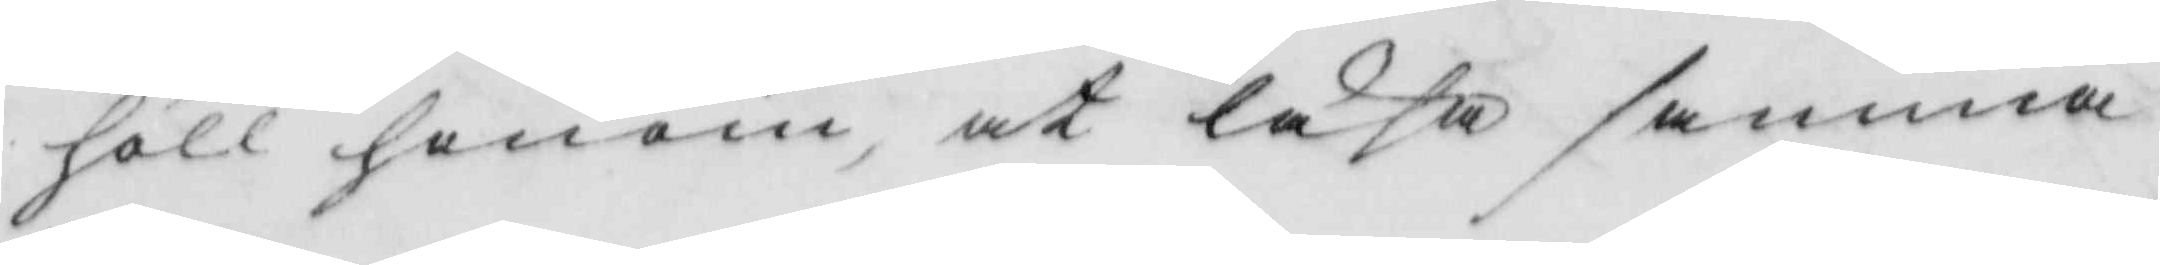höll honom, at läsa samma
